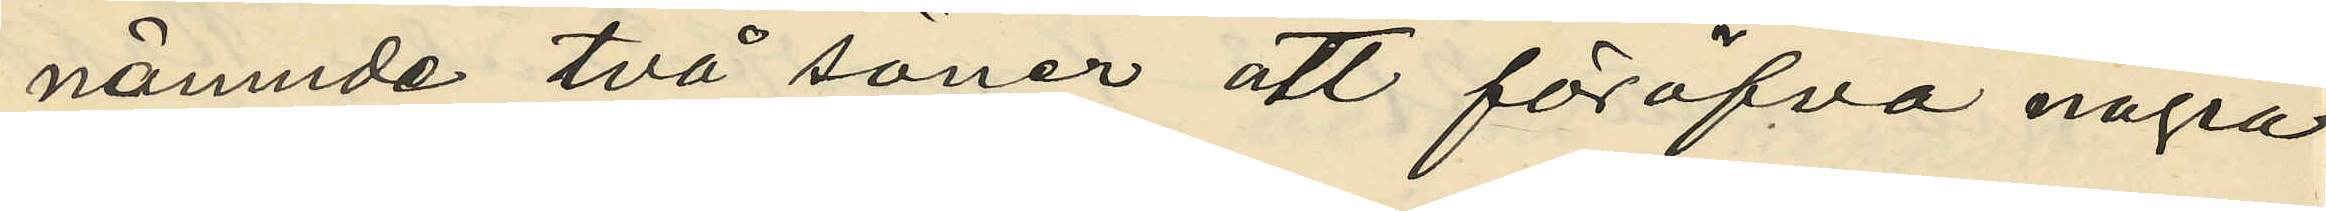nämnde två söner att föröfva några
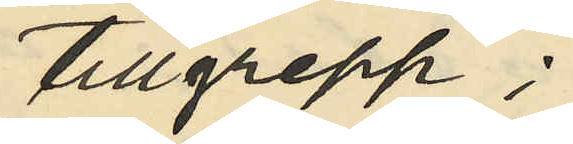tillgrepp;
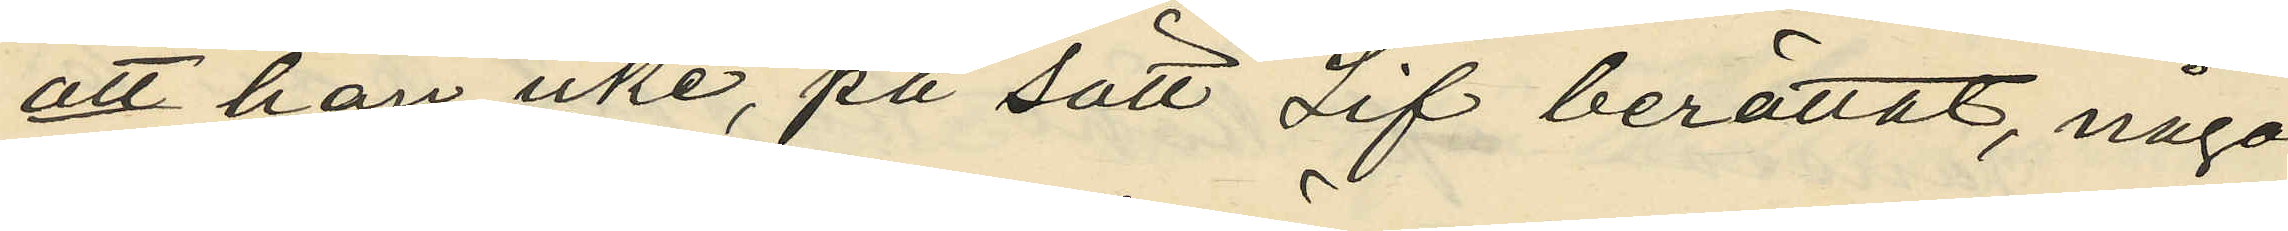att han icke, på sätt Lif berättat, någo
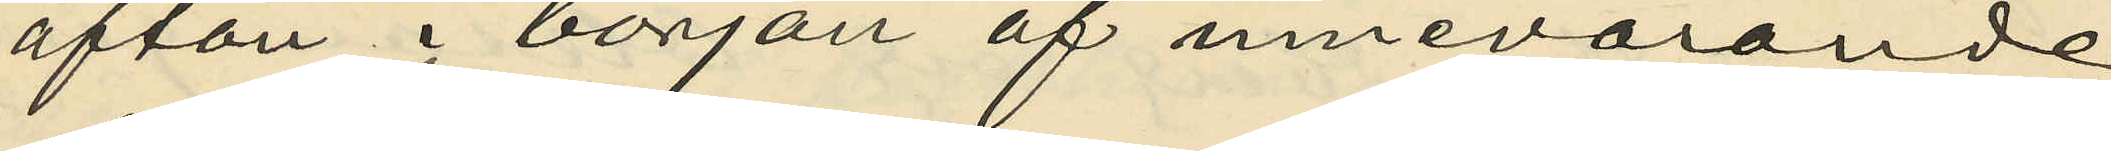afton i början af innevarande
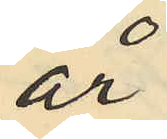år
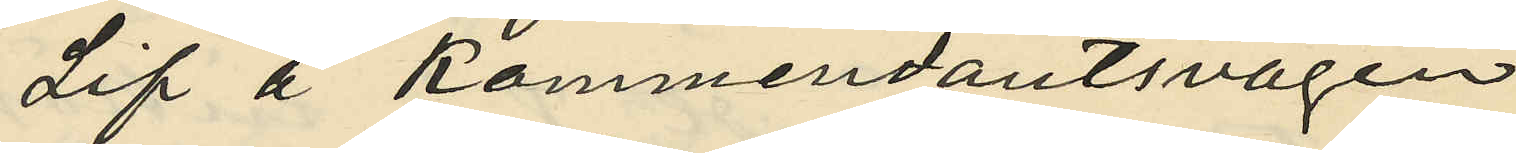Lif å Kommendantsvägen
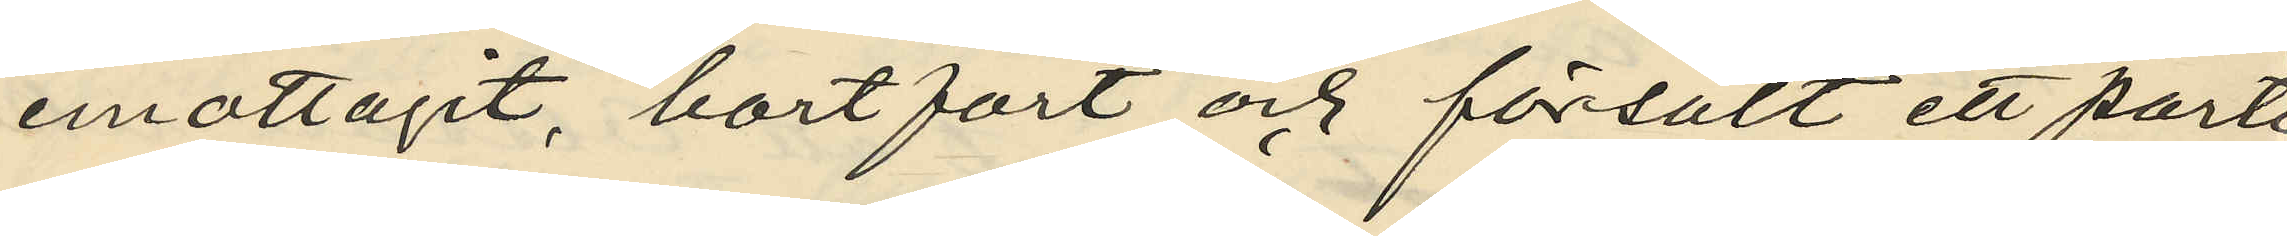emottagit, bortfört och försålt ett parti
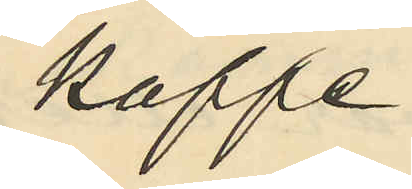kaffe;
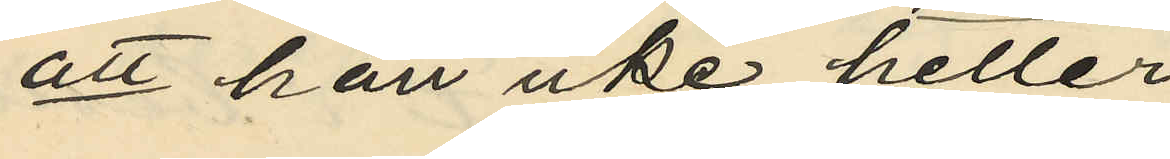att han icke heller
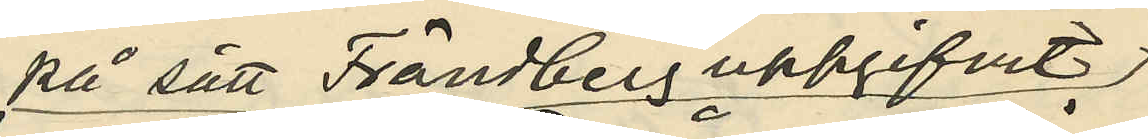på sätt Frändberg uppgifvit
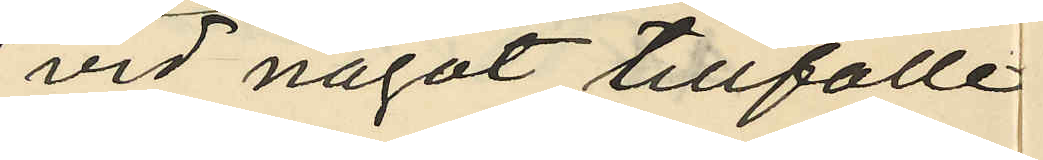vid något tillfälle
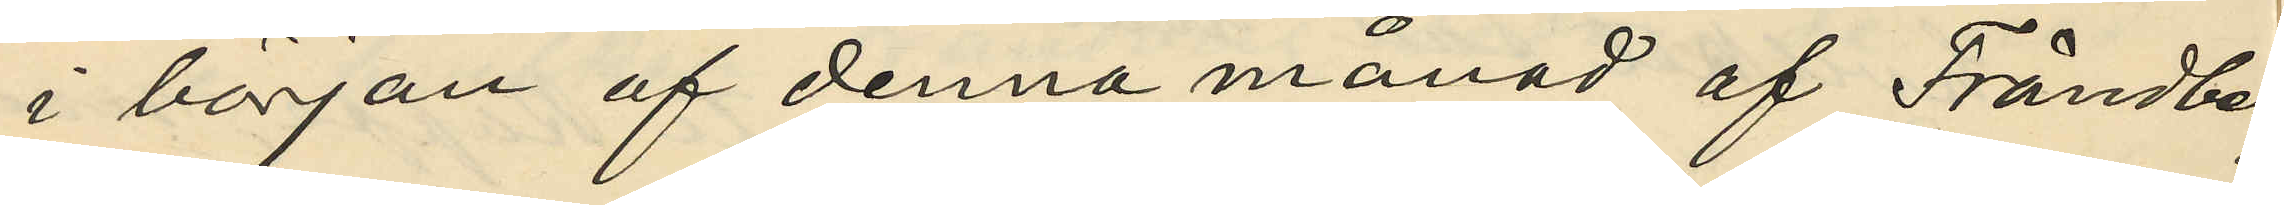i början af denna månad af Frändberg
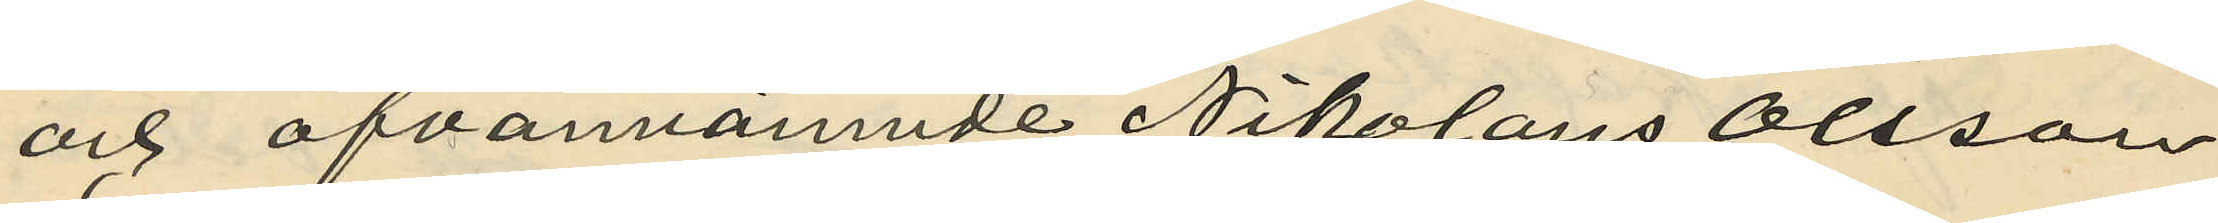och ofvannämnde Nikolaus Olsson
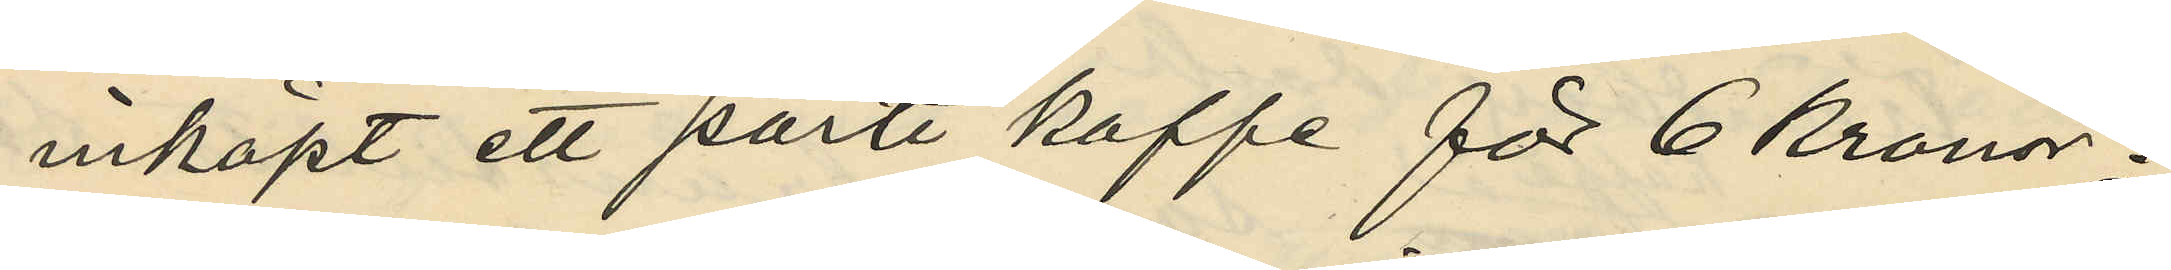inköpt ett parti kaffe för 6 kronor;
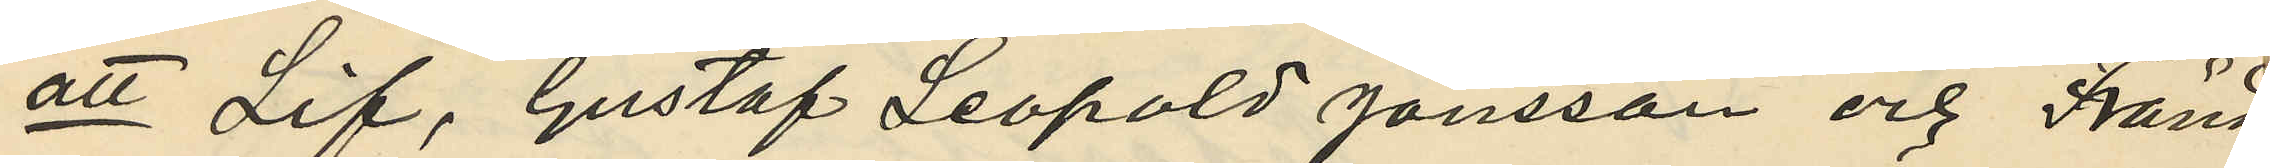att Lif, Gustaf Leopold Jönsson och Fränd
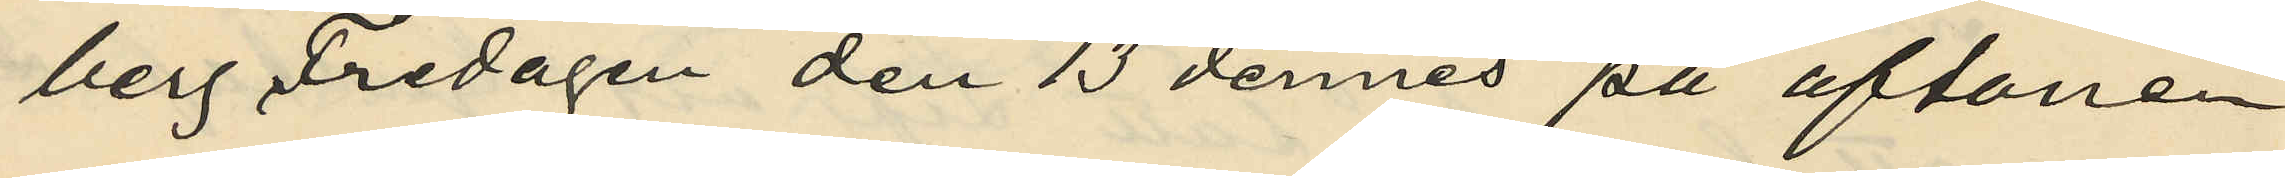berg Fredagen den 13 dennes på aftonen
